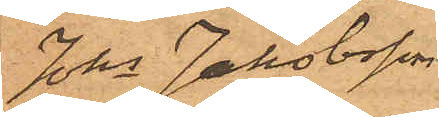Johs Jakobsson
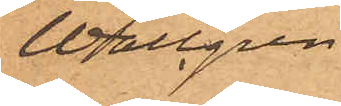Wallgren
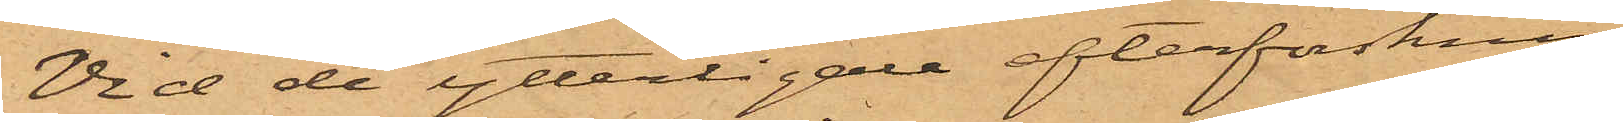Vid de ytterligare efterforsknin¬
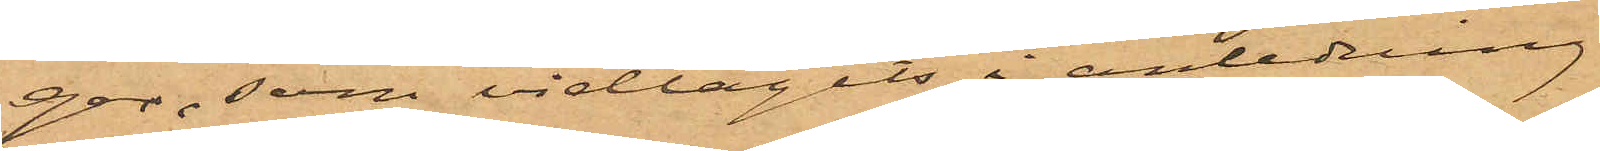gar, som vidtagits i anledning
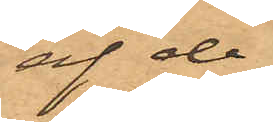af de
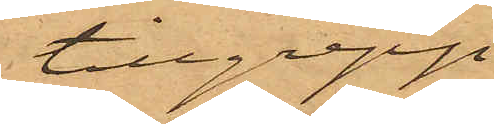tillgrepp
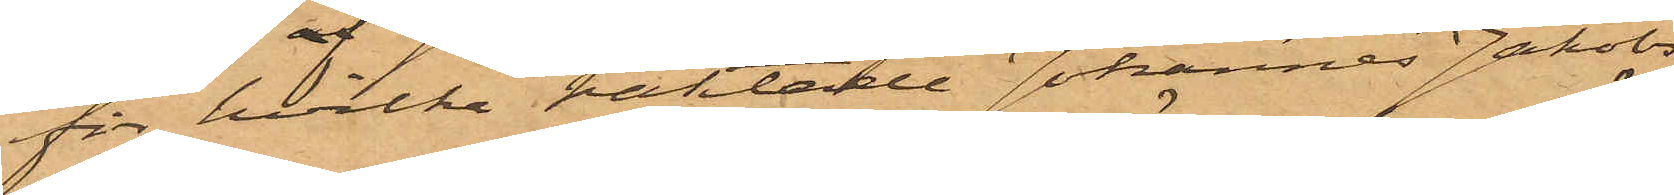för hvilka häktade Johannes Jakobs¬
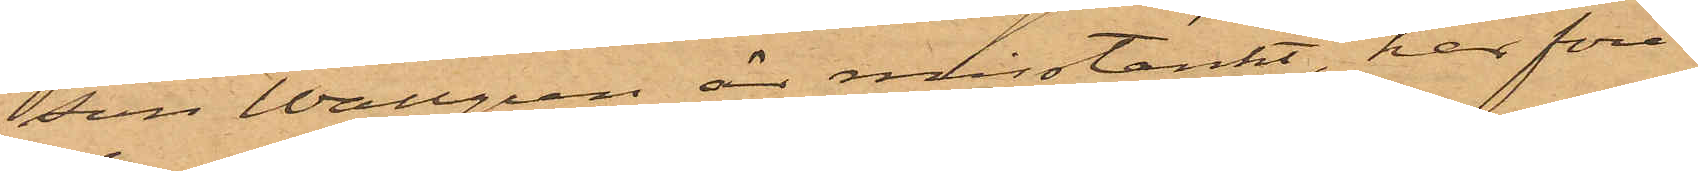son Wallgren är misstänkt, har före¬
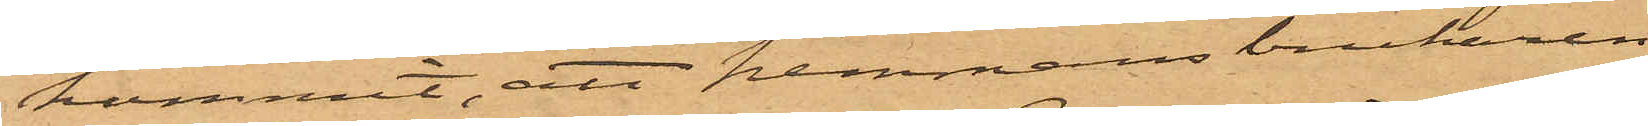kommit, att hemmansbrukaren
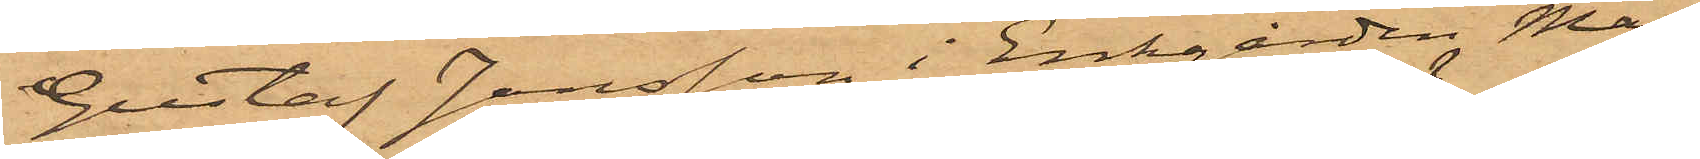Gustaf Jansson i Ersgården Mar¬
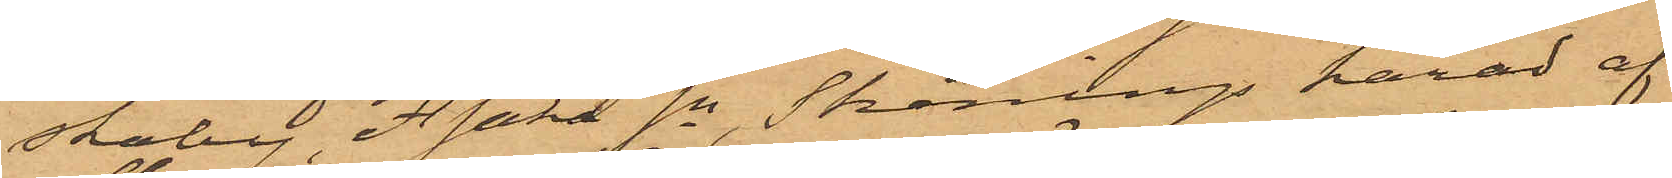skaby Åsaka sn Skånings härad af
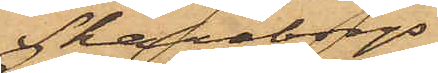Skaraborgs
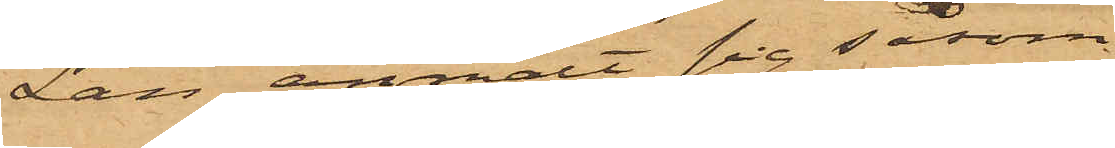Län anmält sig såsom
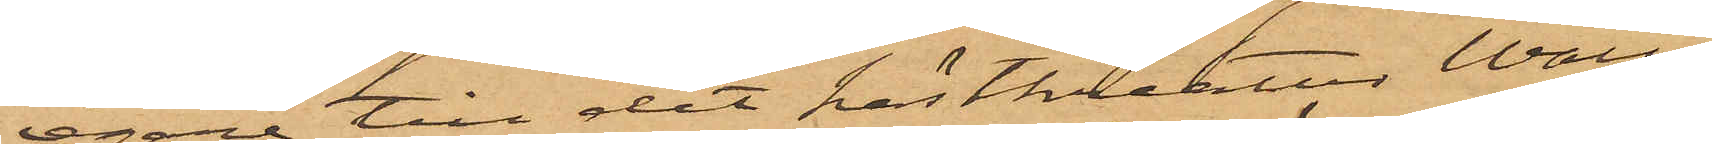egare till det hästkreatur Wall¬
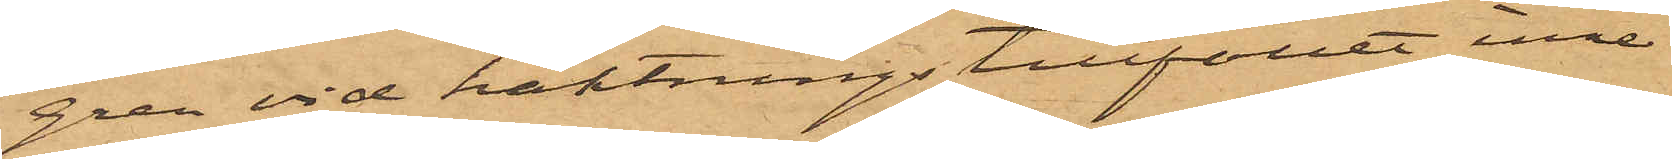gren vid häktningstillfället inne¬
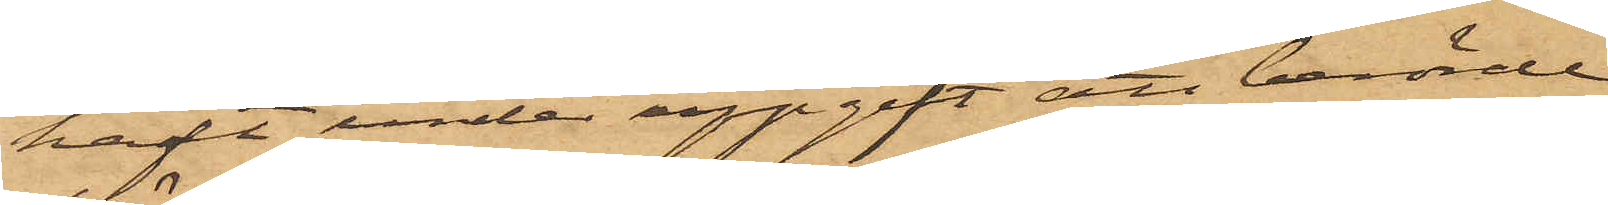haft, under uppgift att berörde
